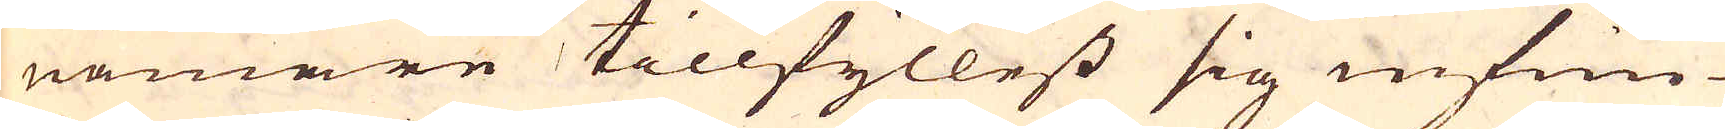nämare tillfyllest sig infun-
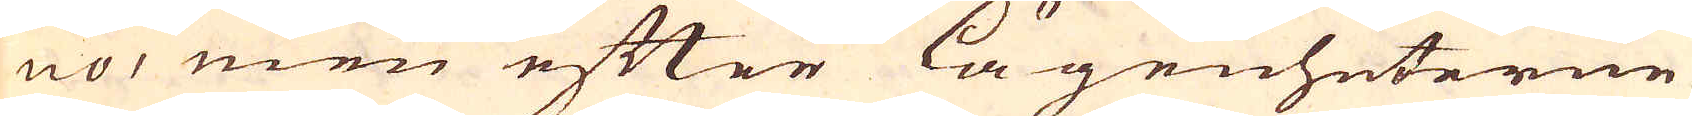no, men efter lägenheterne
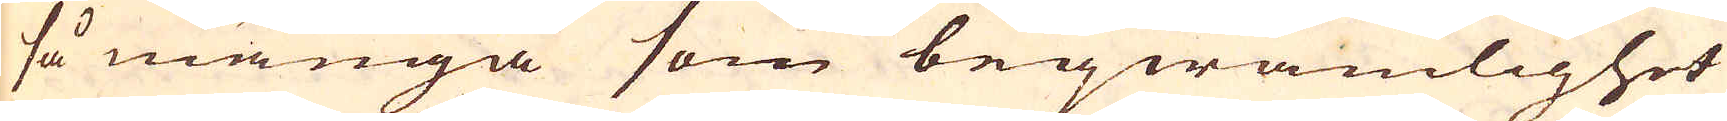så många som beqwämlighet
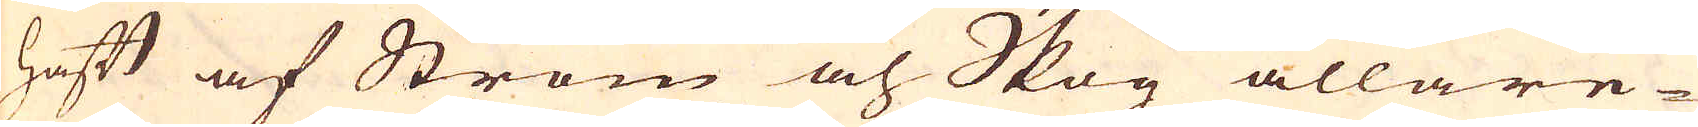haft af Ström och Skog allare-
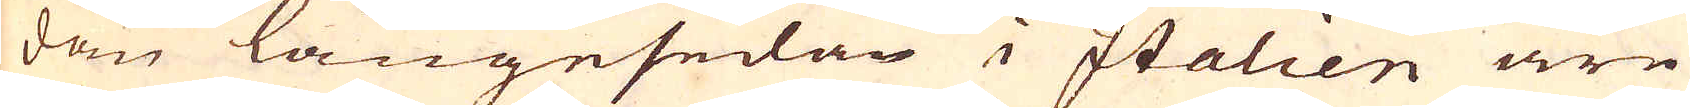dan längesedan i Italien äre
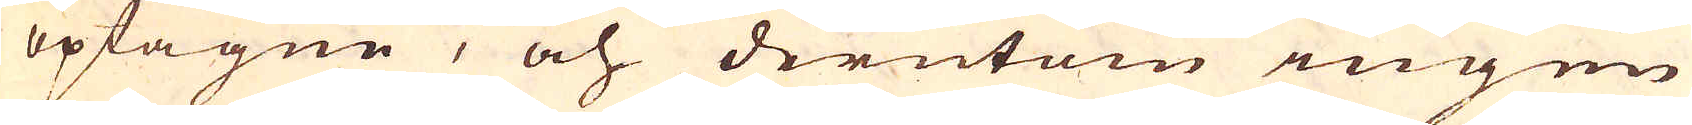opfagne, och derutom ingen
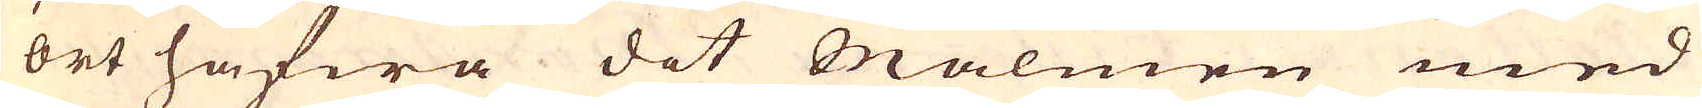ort hafwa dit Malmen med
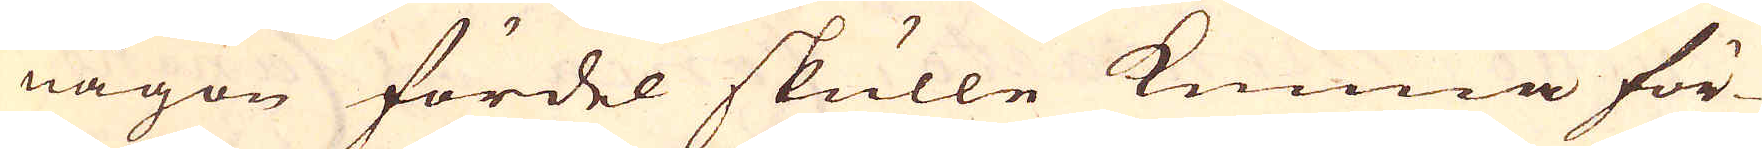någon fördel skulle kunna för-
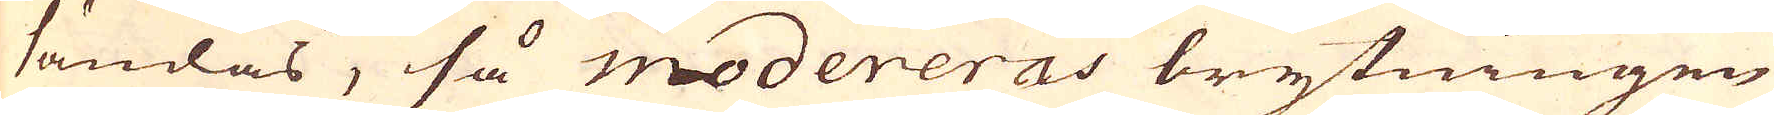sändas, så modereras brytningen
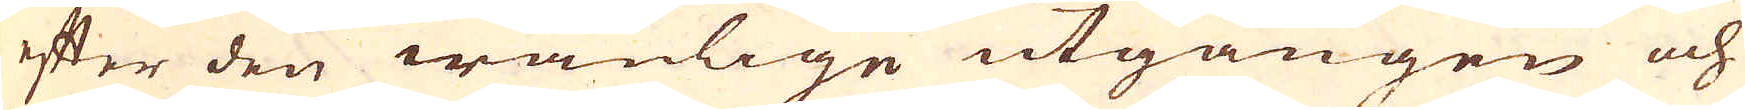efter den wanlige utgången och
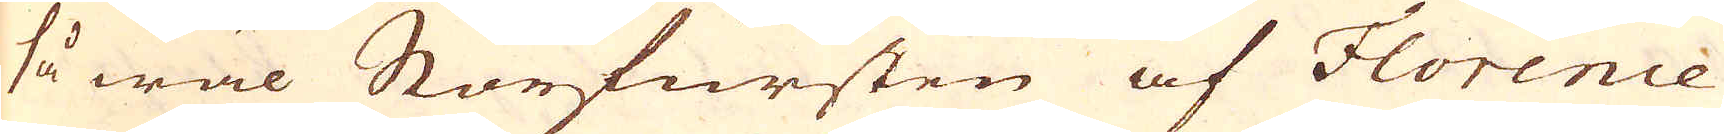så wäl Storfursten af Florence
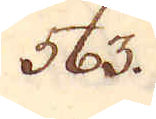563.
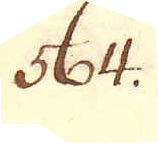564.
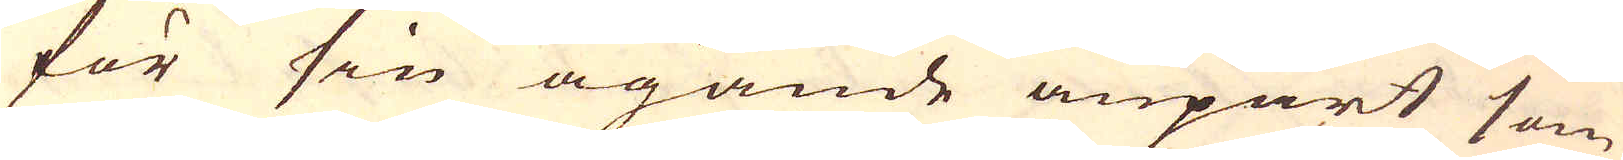för sin ägande anpart som
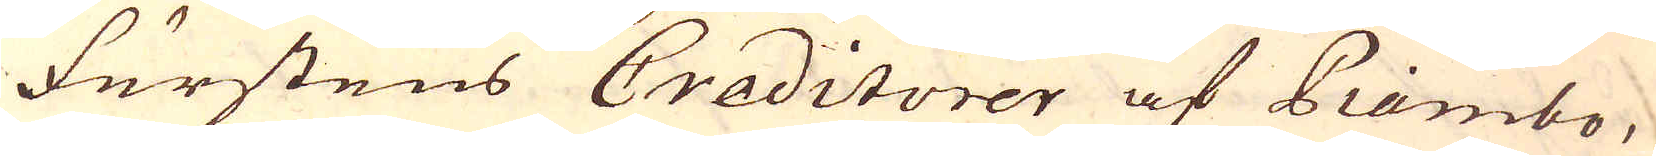furstens Creditorer af Piambo,
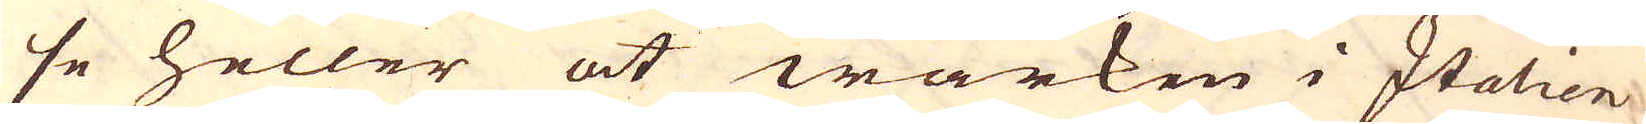se heller at wärken i Italien
